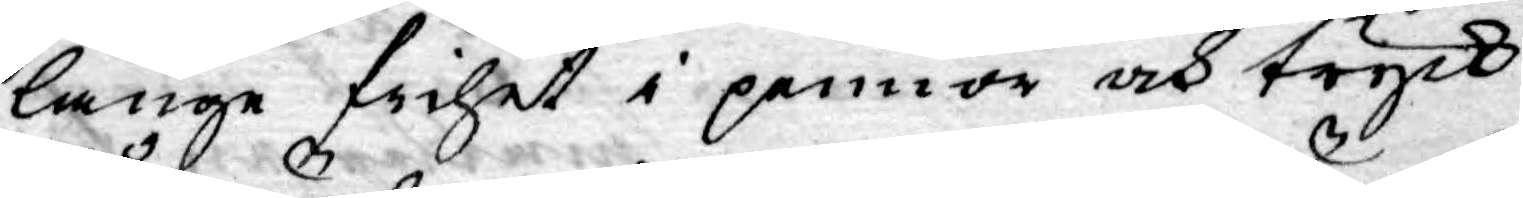länge frihet i pennor och tryck
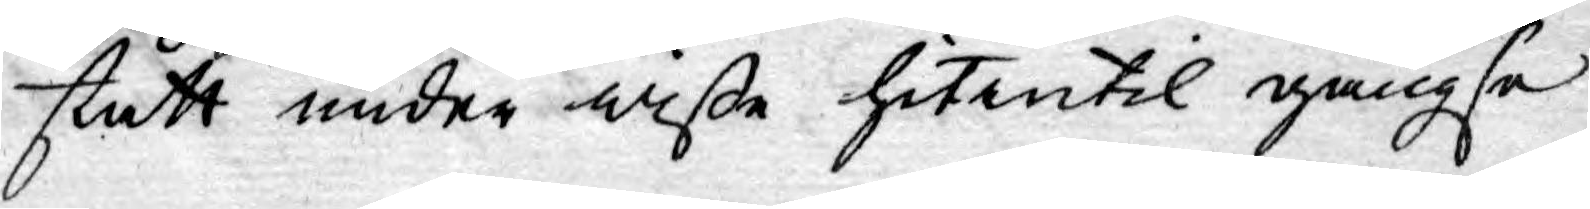stått under wiße hitintil gängse
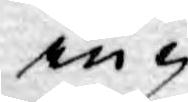in¬
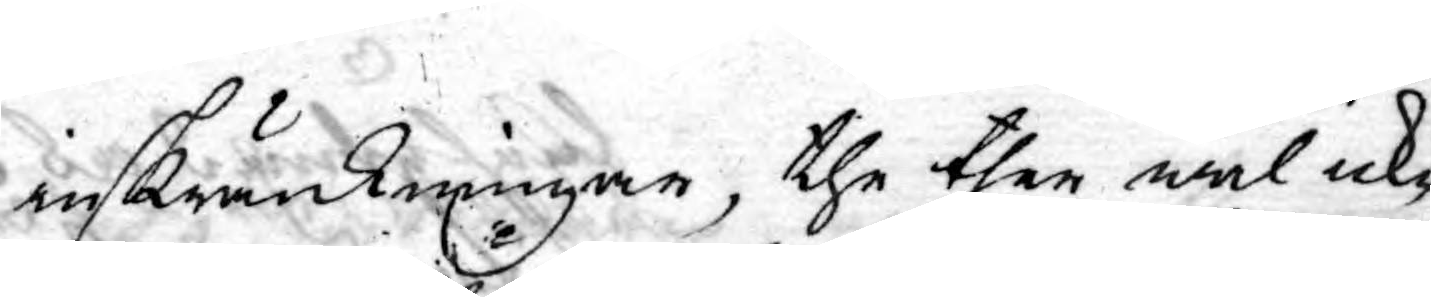inskränkningar, the ther wäl icke
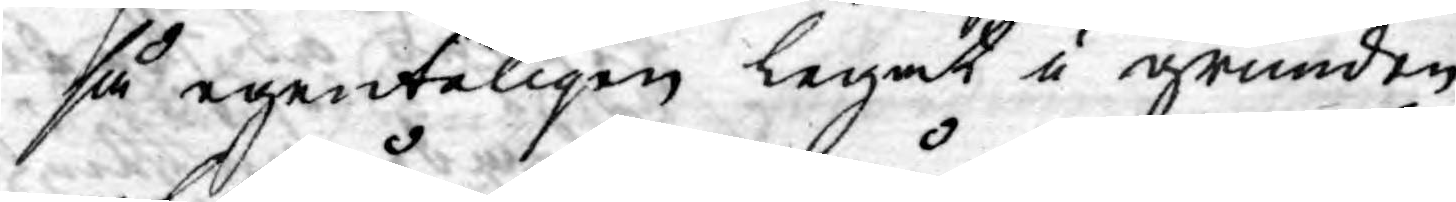så egenteligen legat i grunden
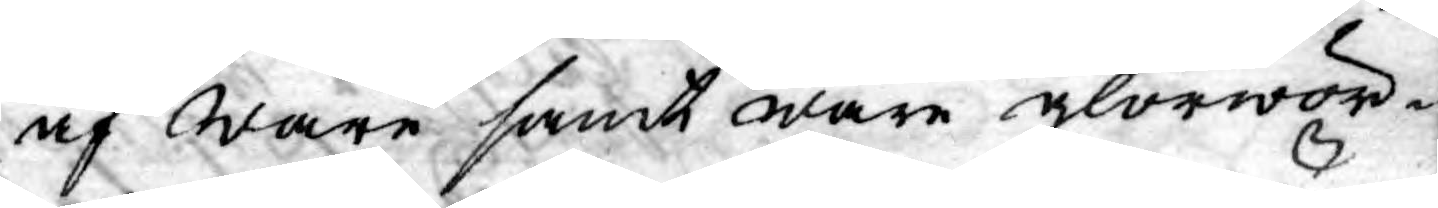af Wåre samt wåre glorwör¬
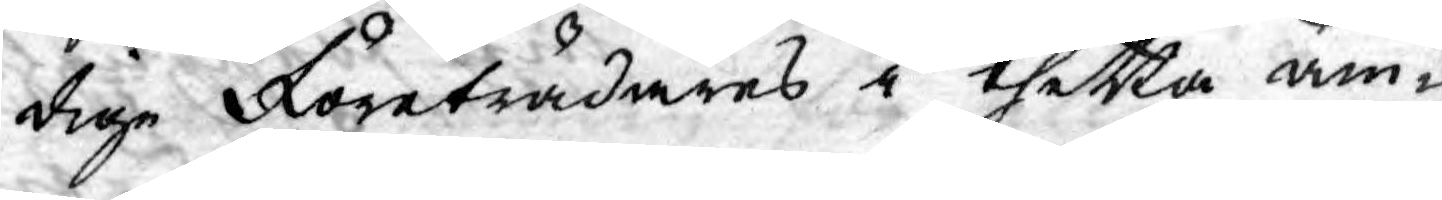dige Företrädares i thetta äm¬
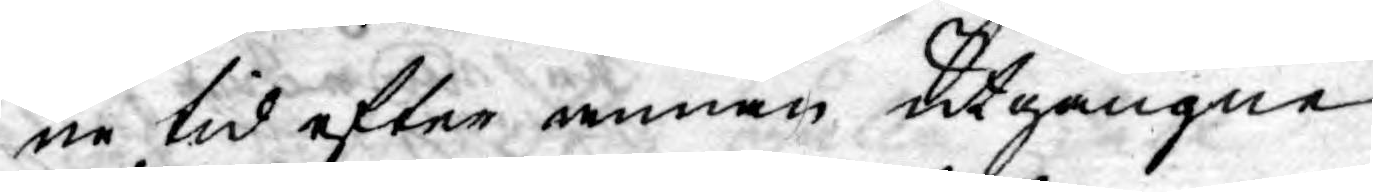ne tid efter annan utgångne
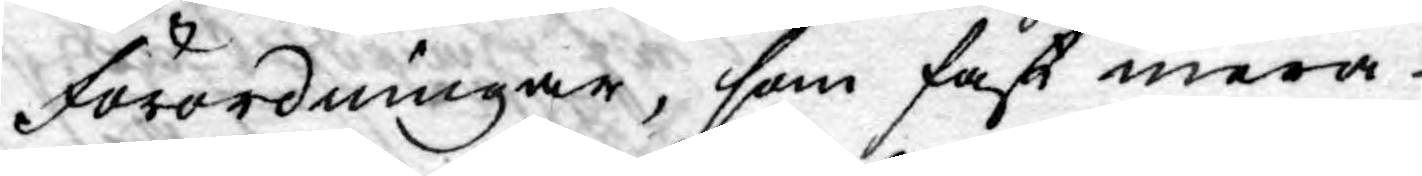Förordningar, som fast mera
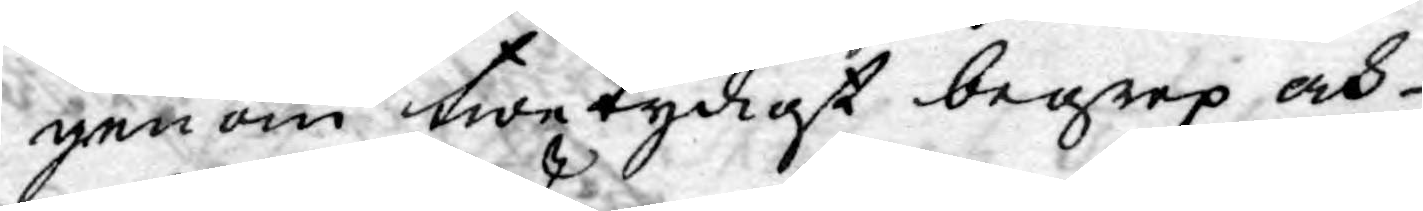genom twetydigt begrep och
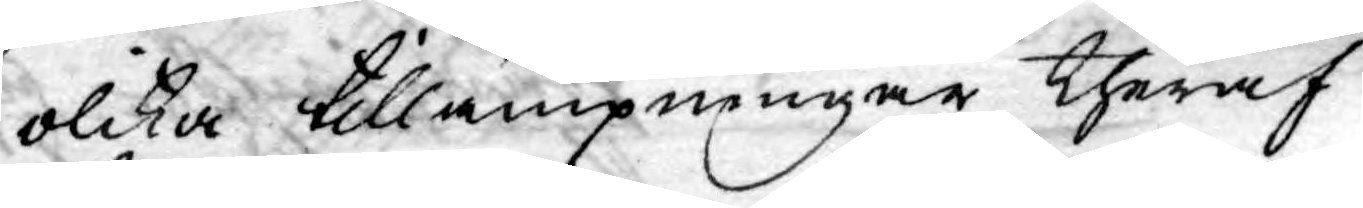olika tillämpningar theraf
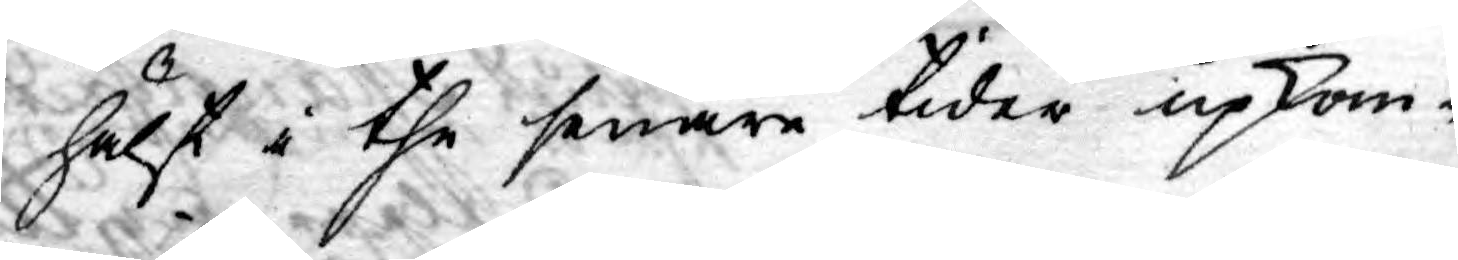hälst i the senare tider upkom¬
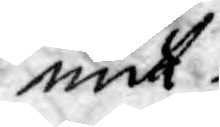mit.
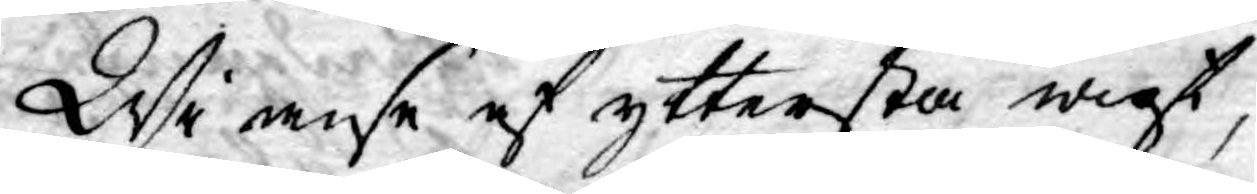Wi wise af yttersta wigt,
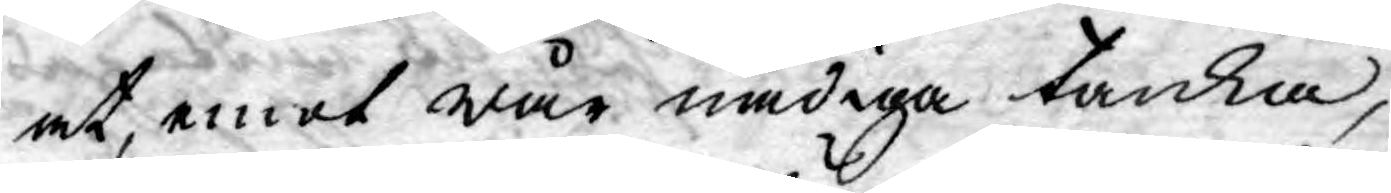at, emot wår nådiga tanka,
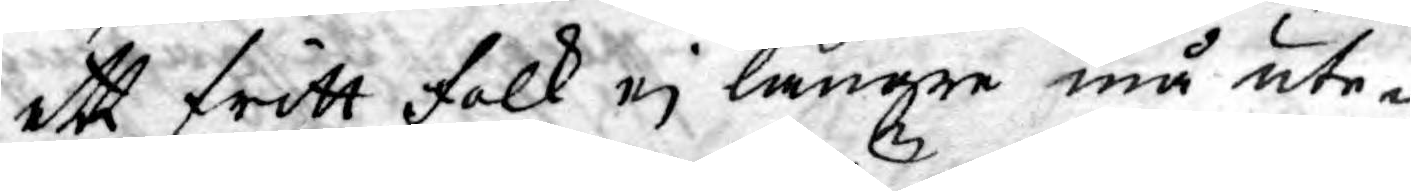ett fritt folk ej längre må ute¬
